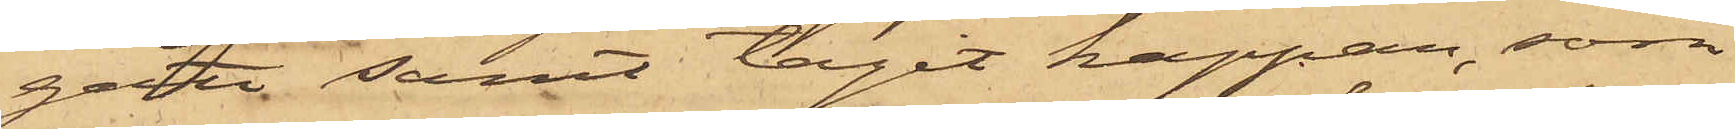gått samt tagit kappan, som
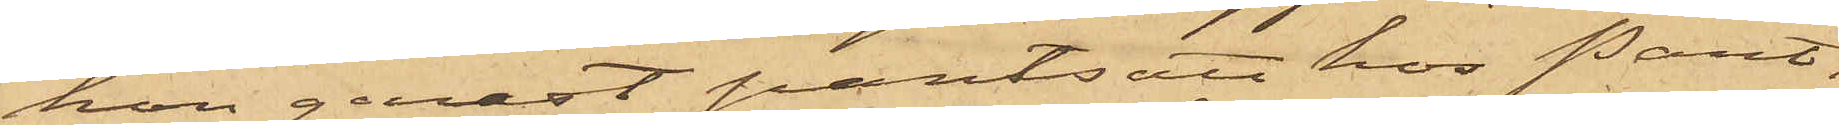hon genast pantsatt hos Pant¬
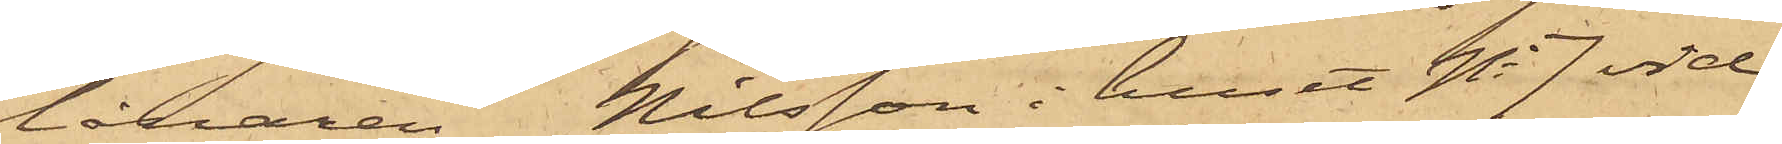lånaren Nilsson i huset No 7 vid
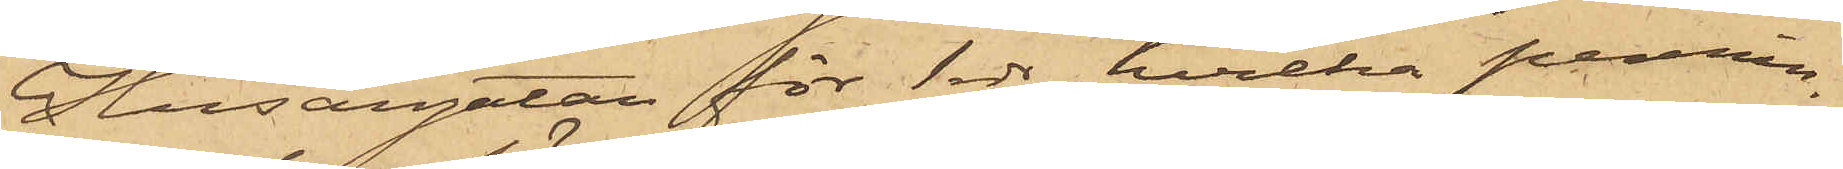Husargatan för 1 rdr, hvilka pennin¬
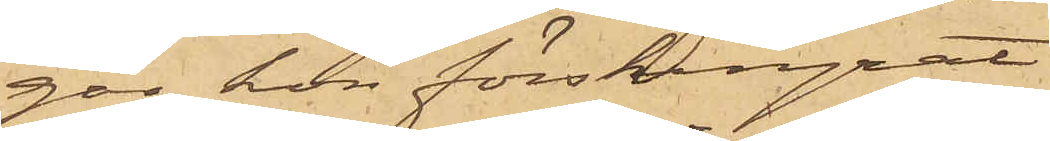gar hon förskingrat
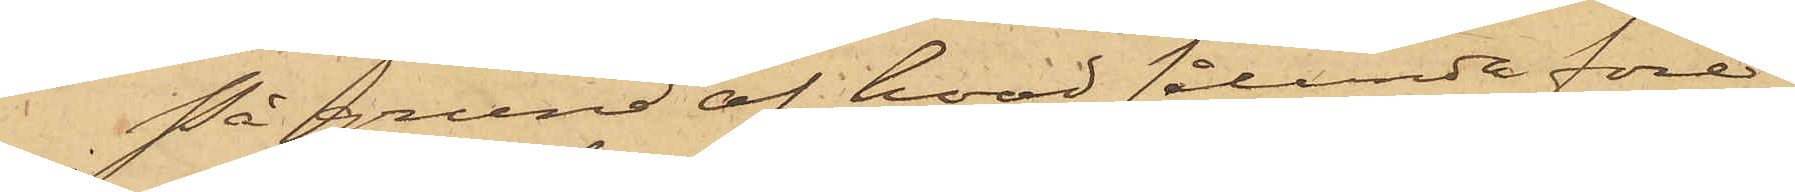På grund af hvad sålunda före¬
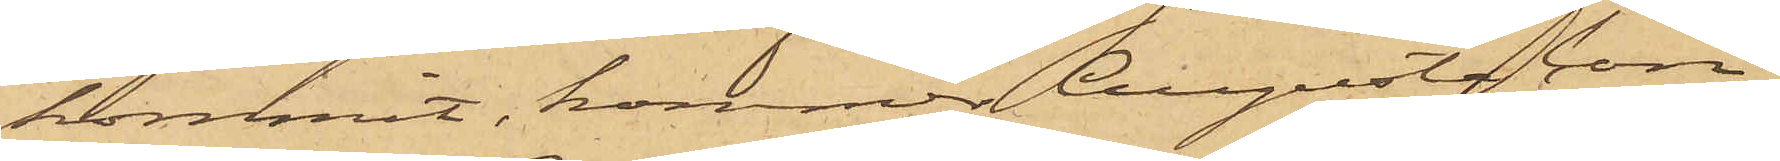kommit, kommer Augusta Con¬
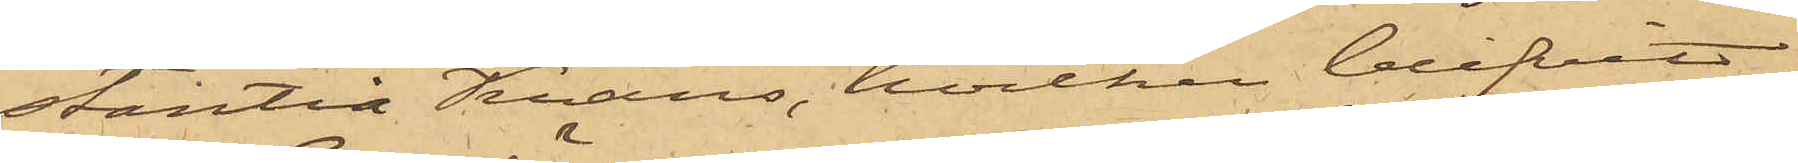stantia Krans, hvilken blifvit
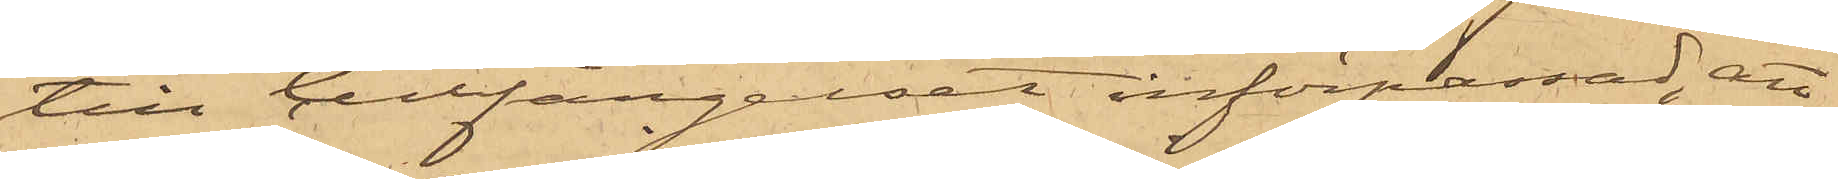till Cellfängelset införpassad, att
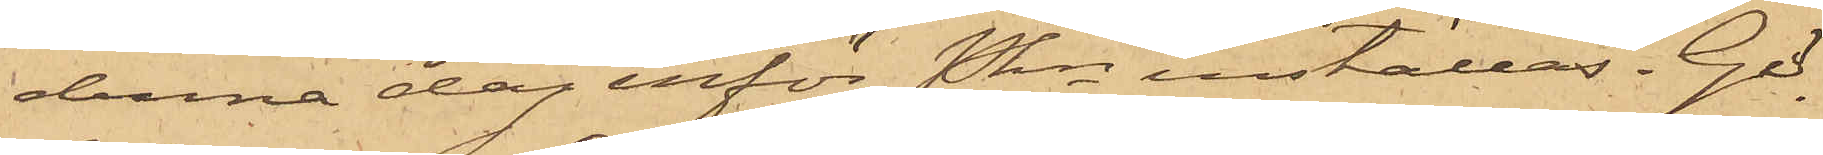denna dag inför Pkn inställas. Gö¬
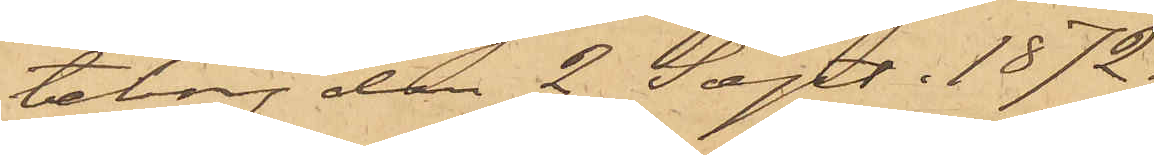teborg den 2 Sept. 1872.
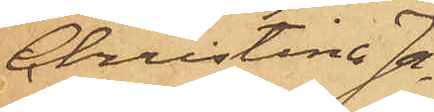Christina Ja¬
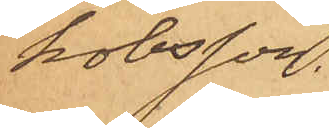kobsson.
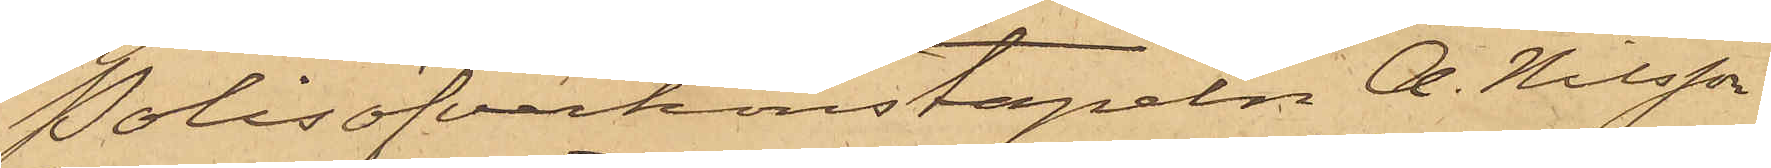Polisöfverkonstapeln A. Nilsson
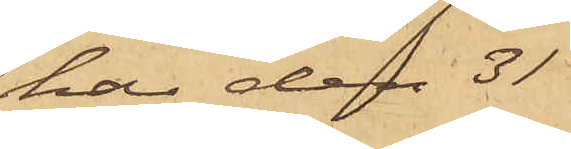har den 31
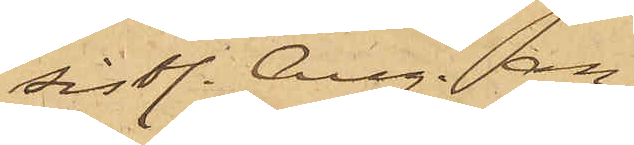sistl. Aug. an¬
